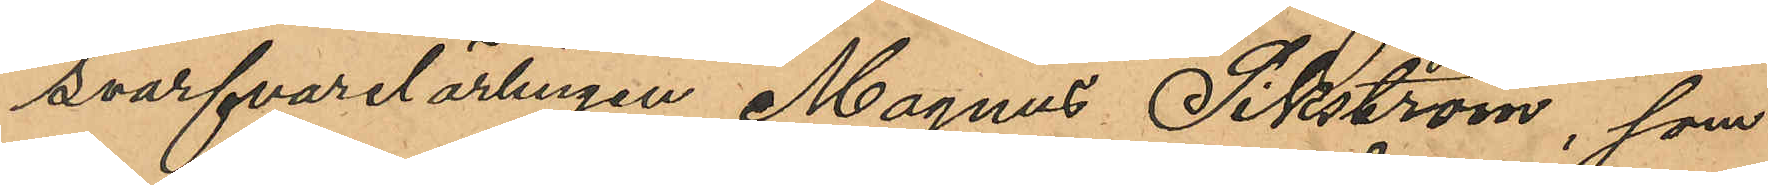svarfvarelärlingen Magnus Sikström, som
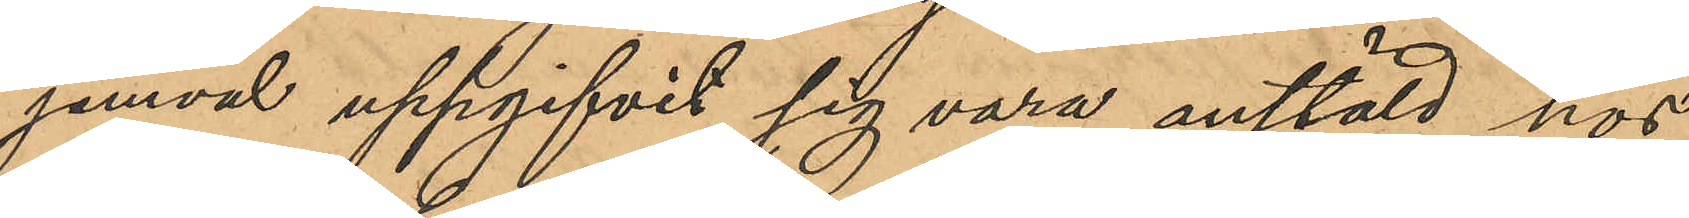jemväl uppgifvit sig vara anstäld hos
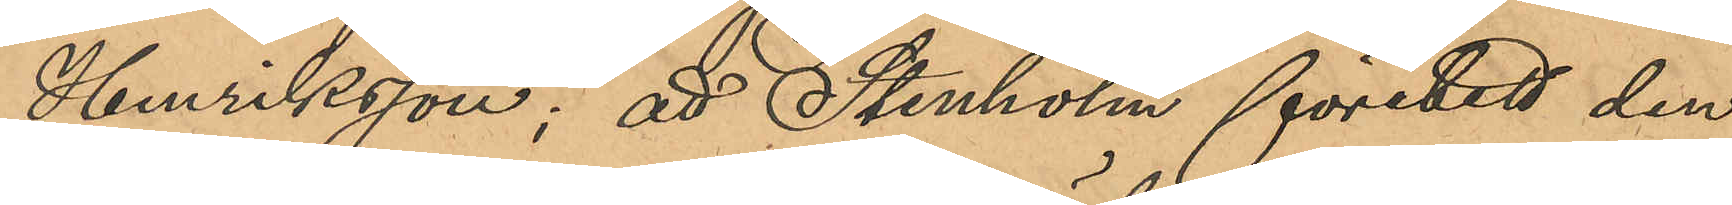Henriksson; att Stenholm företett den
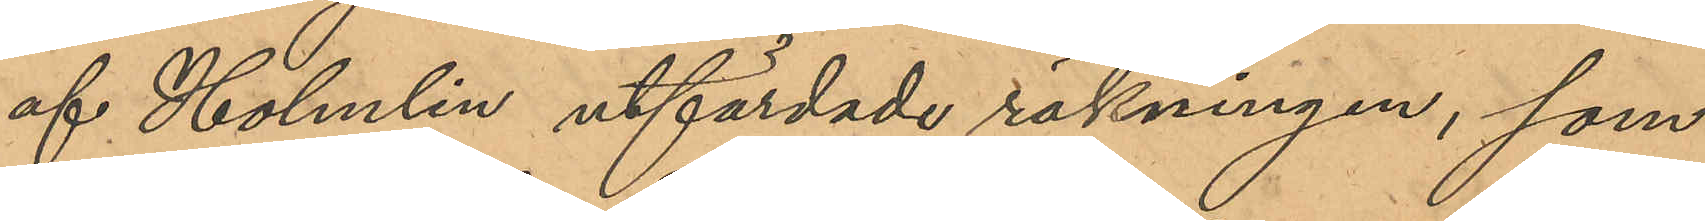af Holmlin utfärdade räkningen, som
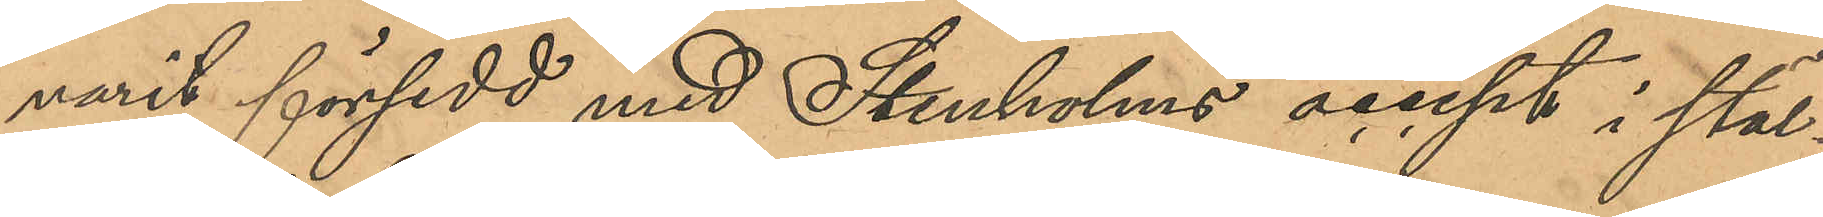varit försedd med Stenholms accept i stal¬
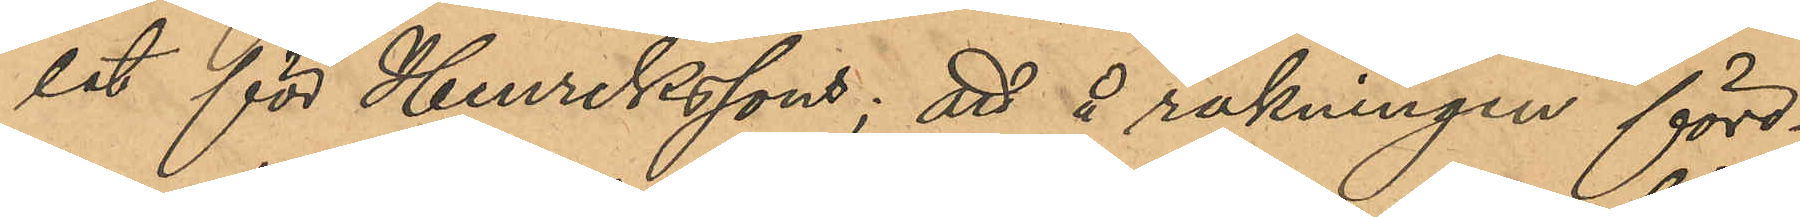let för Henrikssons; att å räkningen före¬
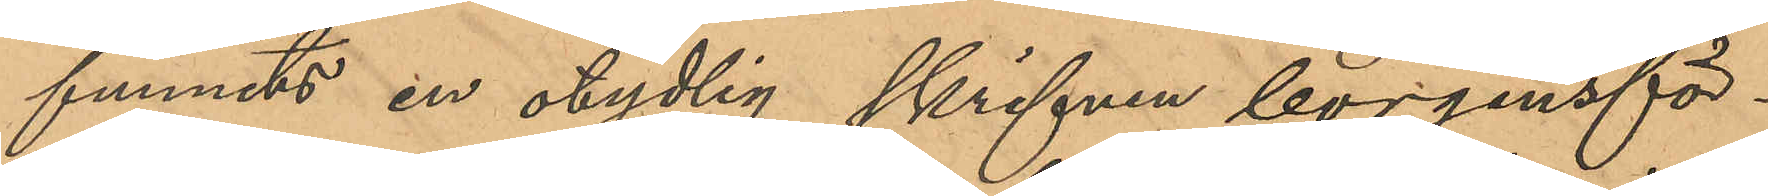funnits en otydlig skrifven borgensför¬
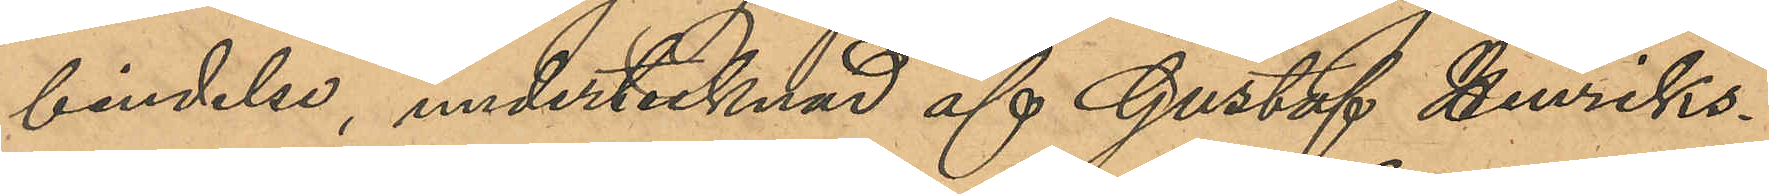bindelse, undertecknad af Gustaf Henriks¬
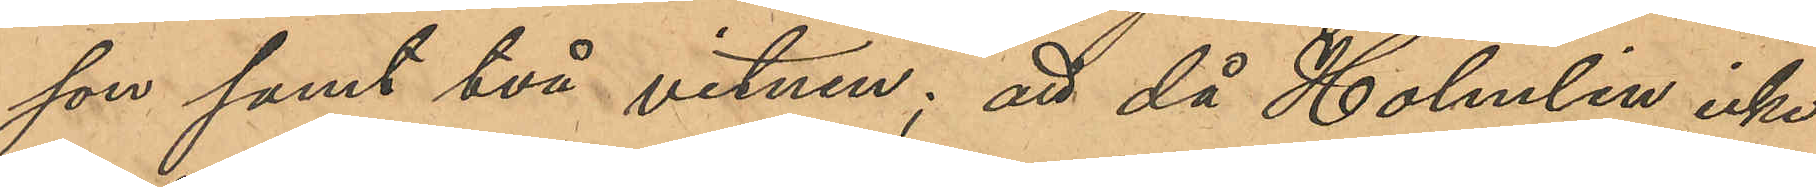son samt två vitnen; att då Holmlin icke
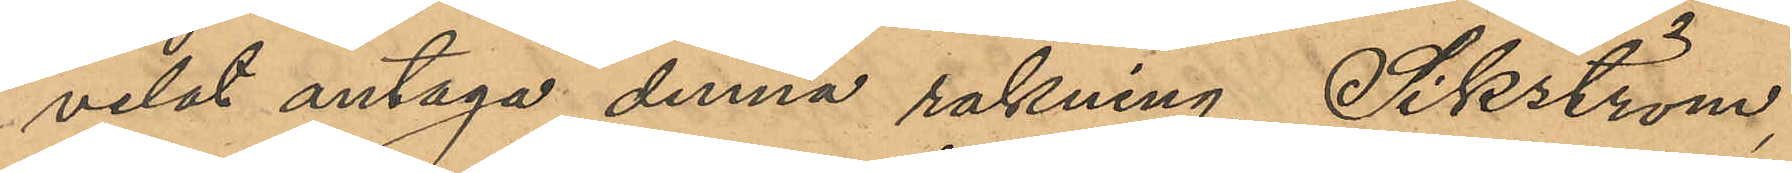velat antaga denna rakning, Sikström,
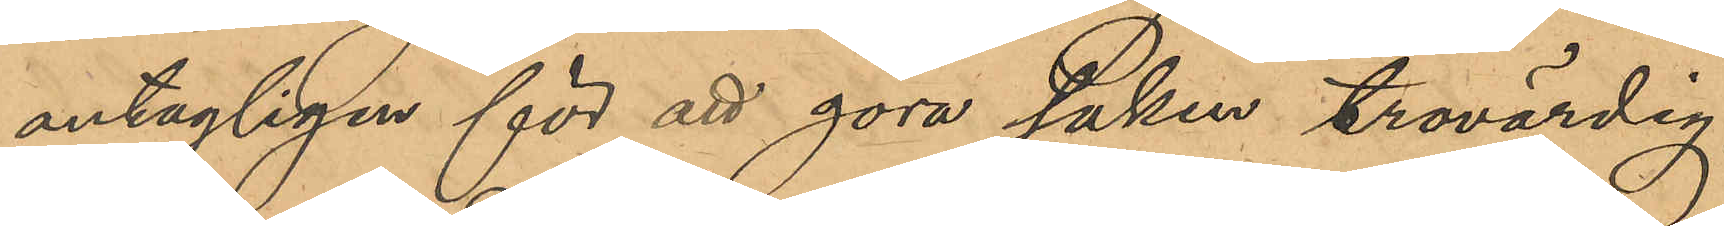antagligen för att göra saken trovärdig,
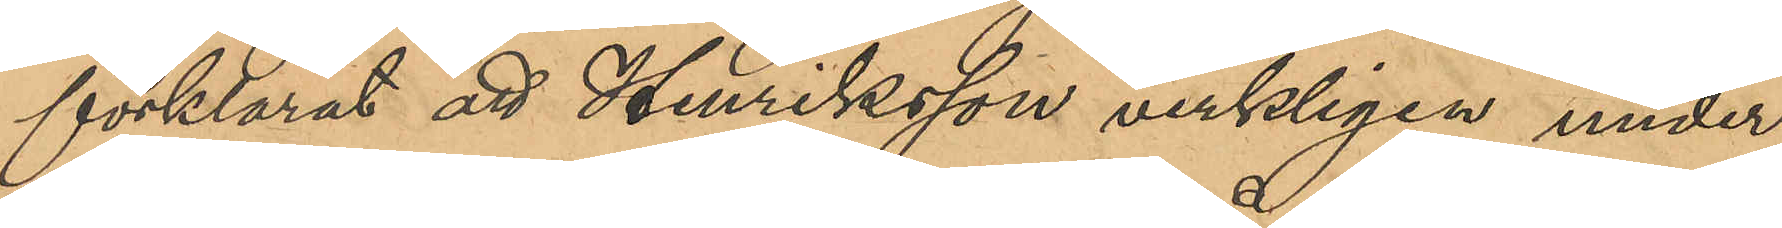förklarat att Henriksson verkligen under¬
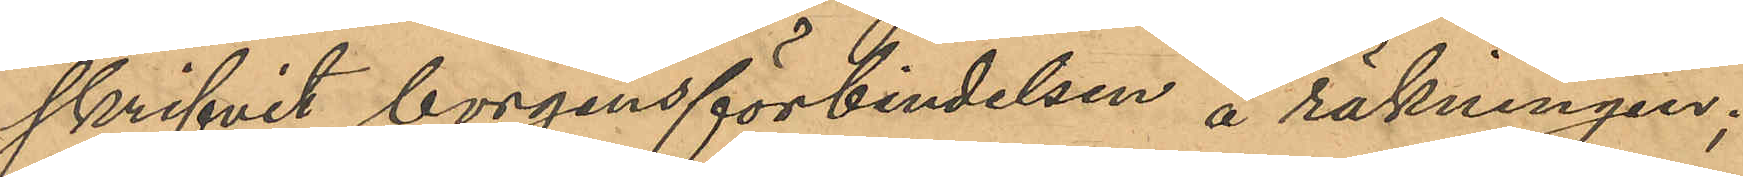skrifvit borgensförbindelsen å räkningen;
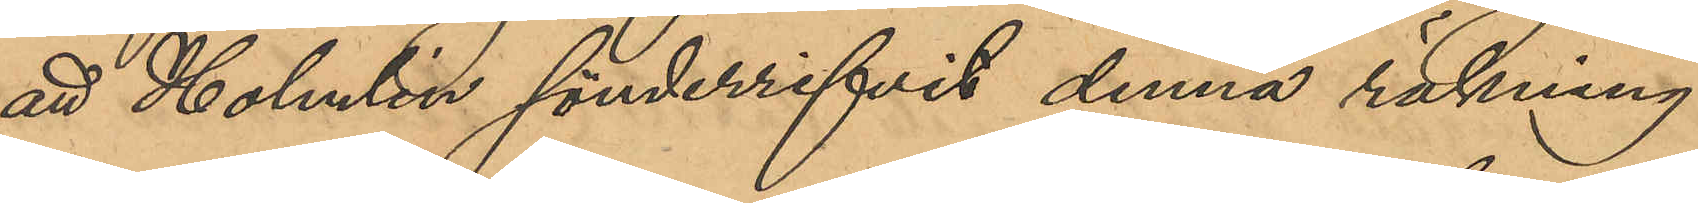att Holmlin sönderrifvit denna räkning
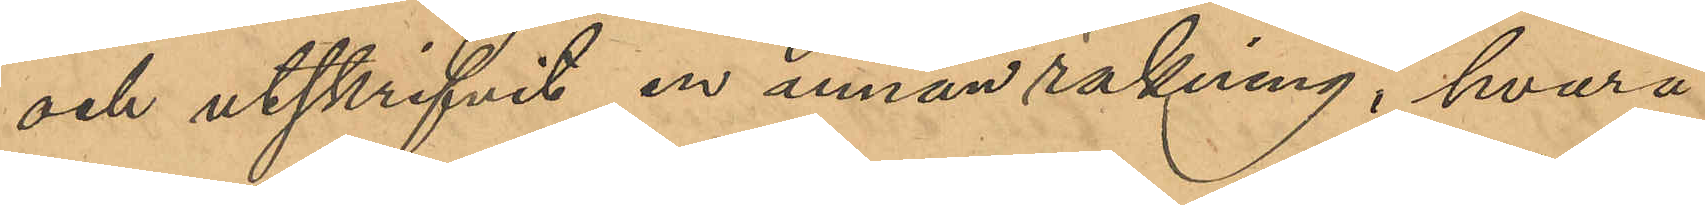och utskrifvit en annan räkning, hvarå
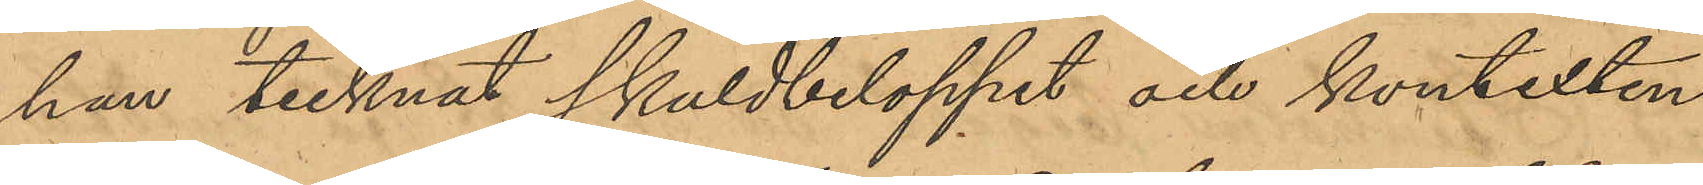han tecknat skuldbeloppet och kontexten
